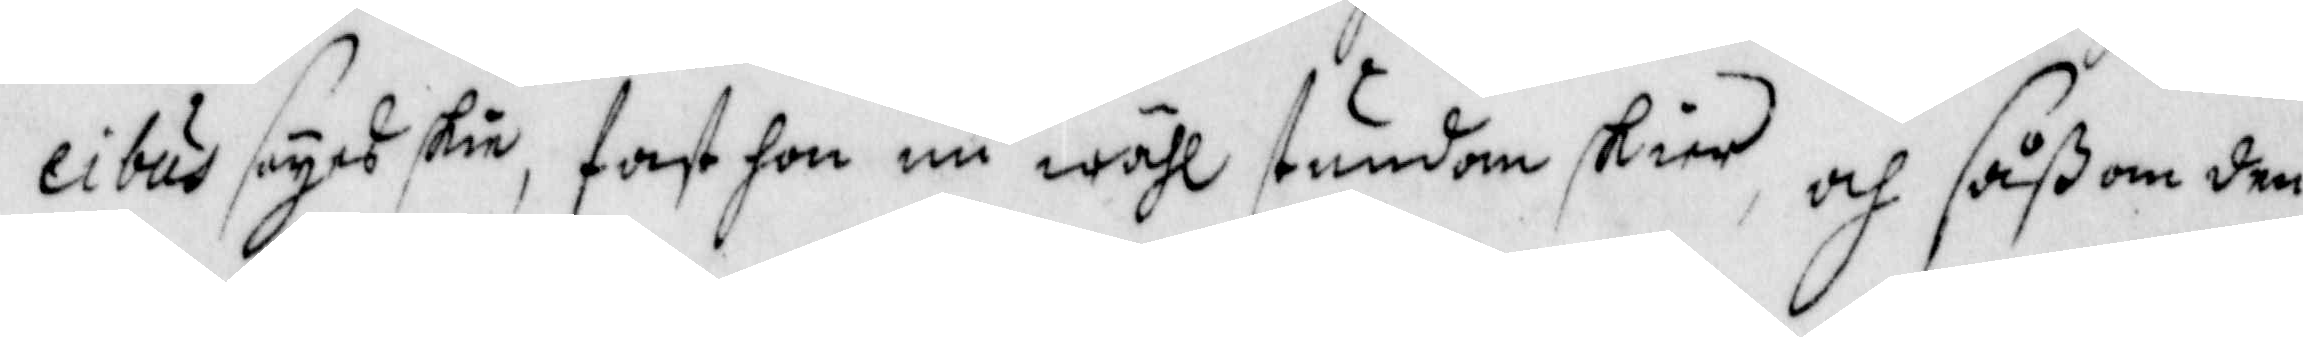cibus synes skie, fast hon nu wähl stundom skier, och såßom den
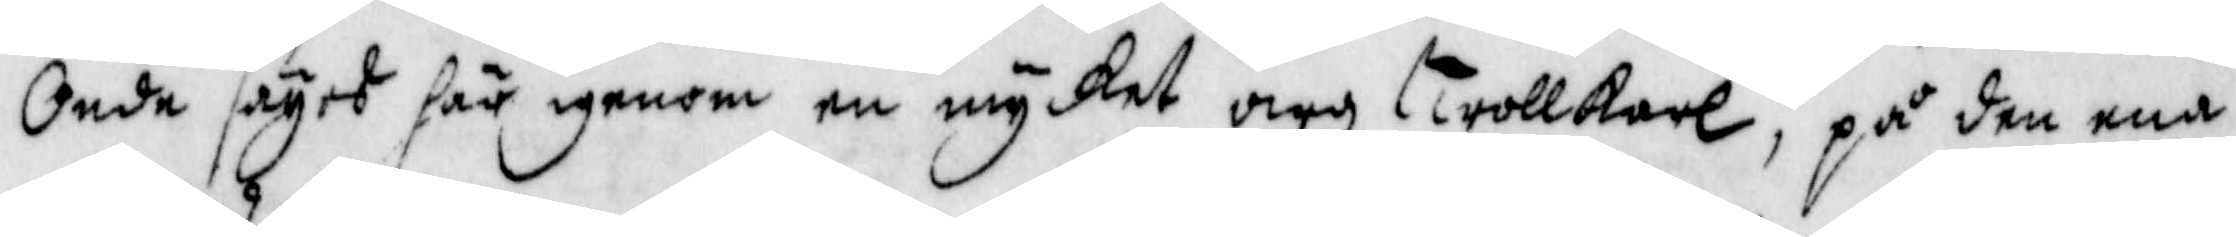Onde säges här igenom en mycket arg trollkarl, på den ena
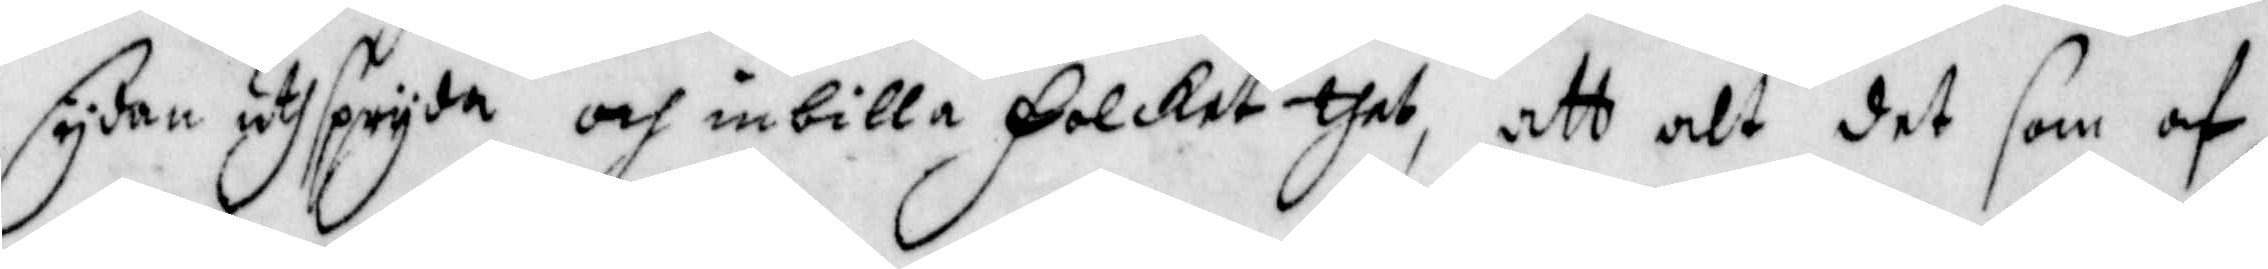sydan utspryda och inbilla Folcket thet, att alt det som af
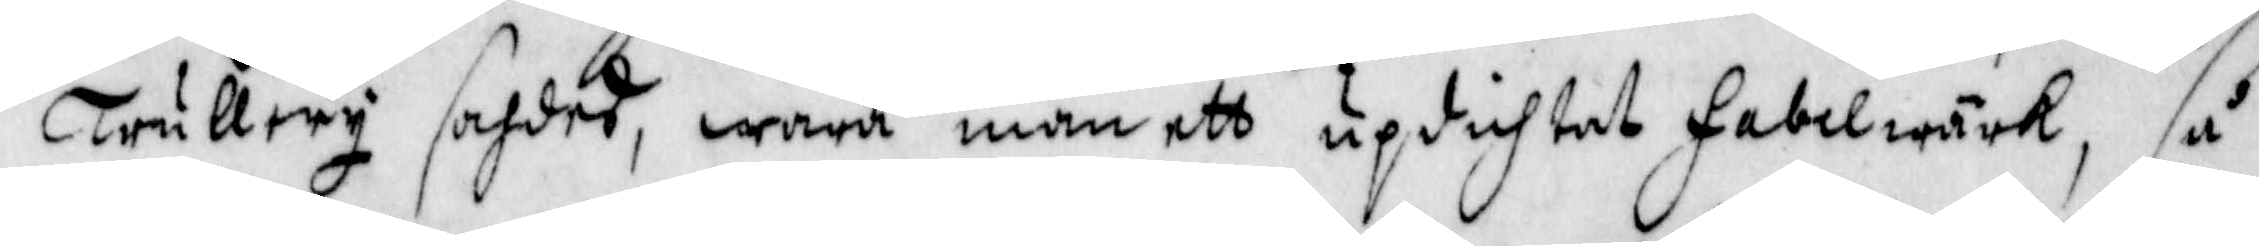trullery sahdes, wara man ett updichtat Fabelwärk, så
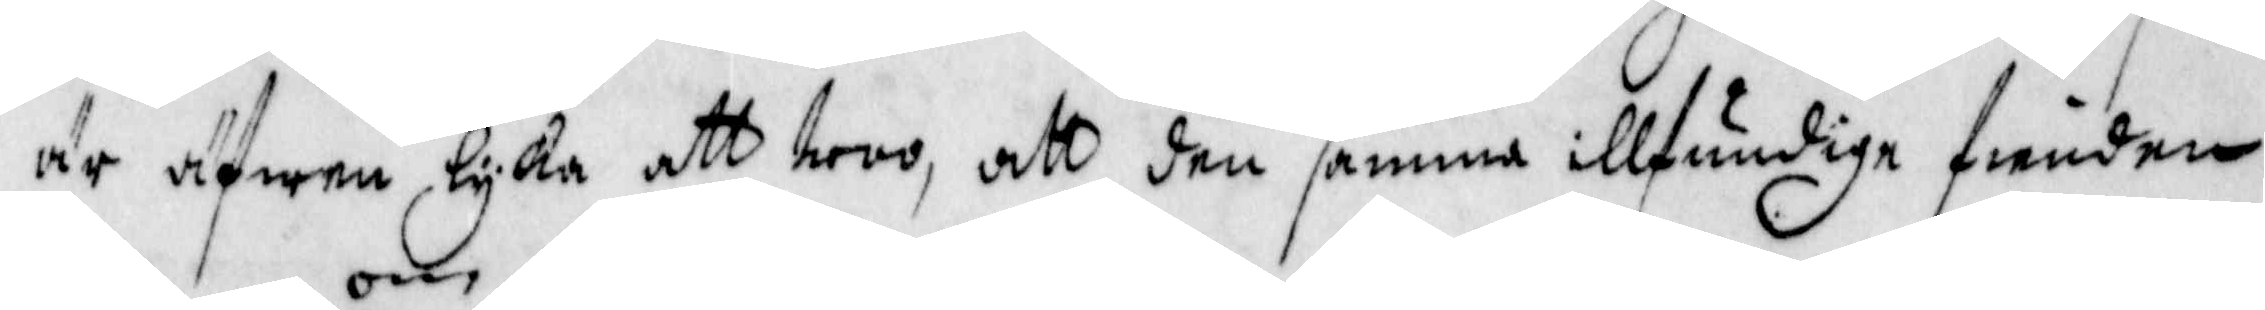är äfwen lyka att troo, att den samma illfundiga fienden
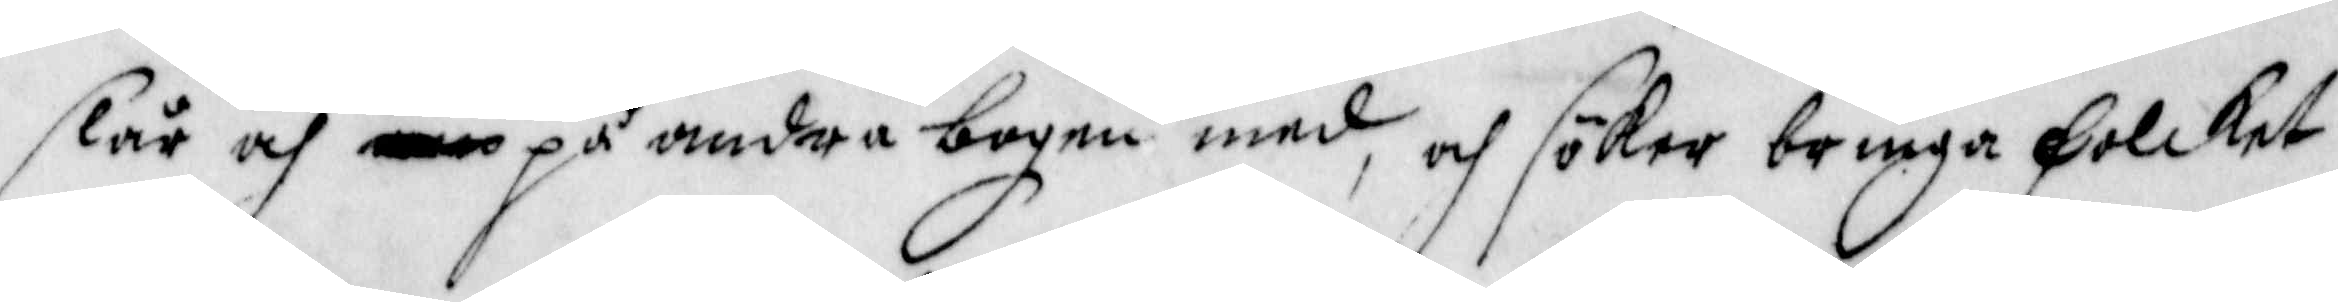slår och om på andra bogen med, och söker bringa Folcket
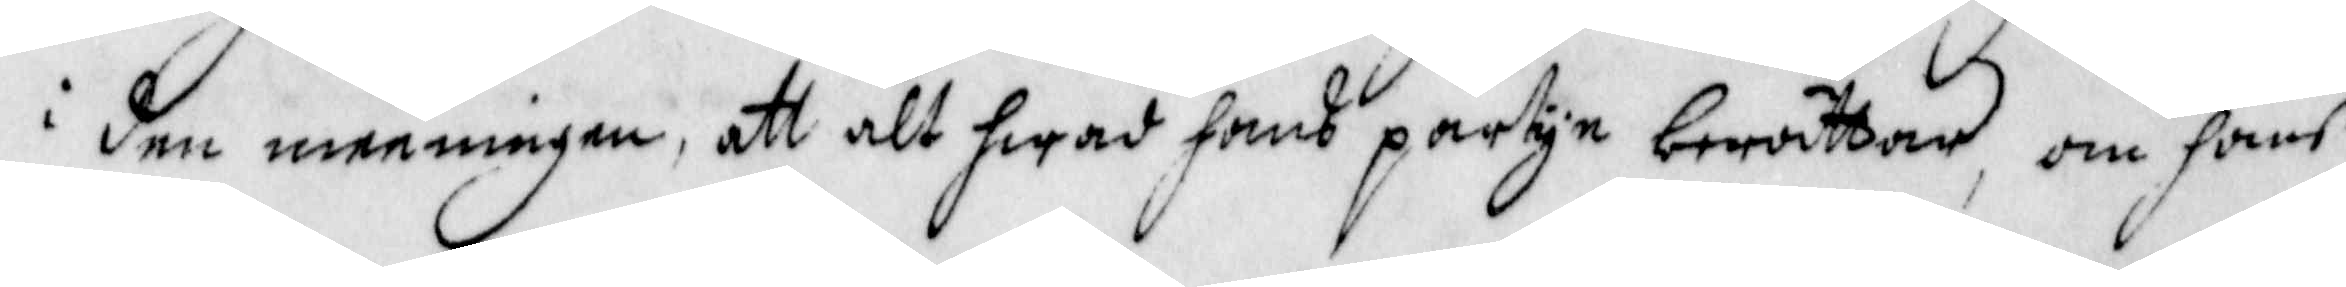i den meningen, att alt hwad hans partye berättar, om hans
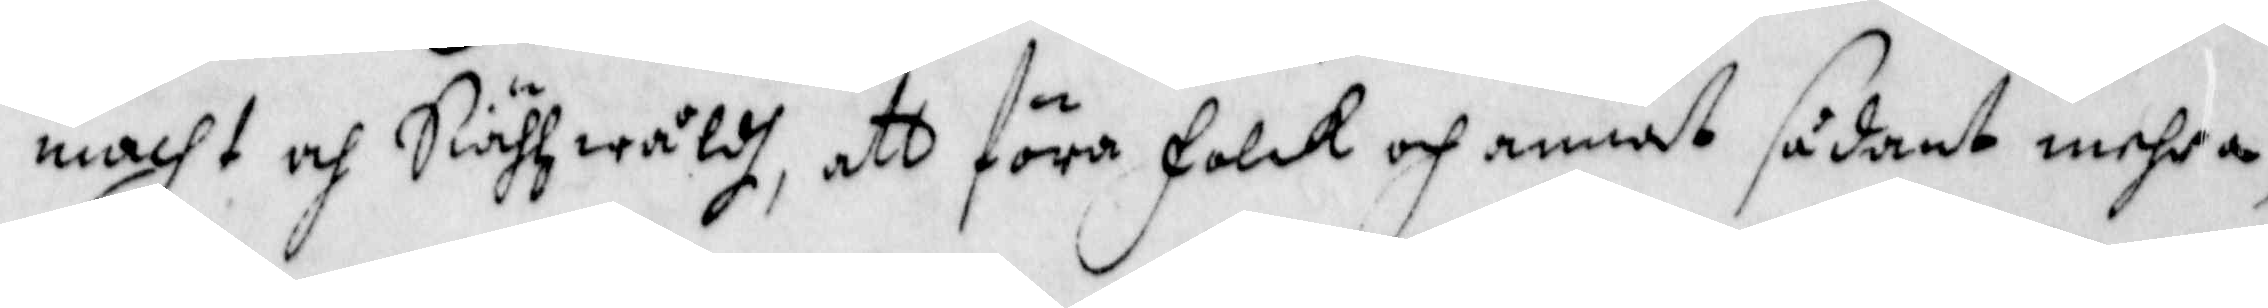macht och Skiähzwåldh, att föra Folck och annat sådant mehra,
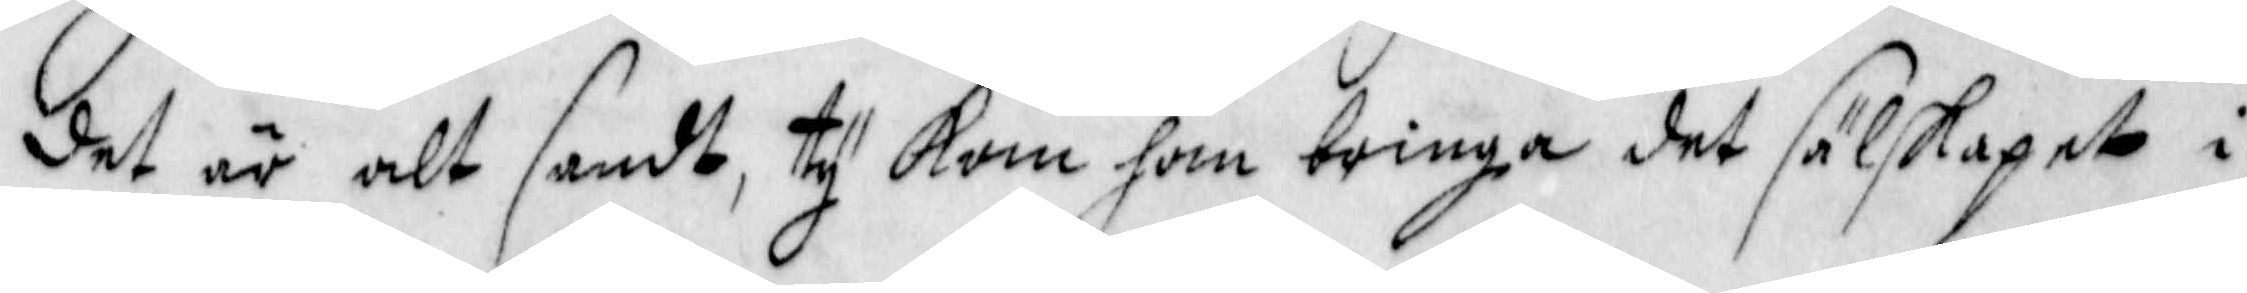det är alt sandt, ty Kan han bringa det sälskapet i
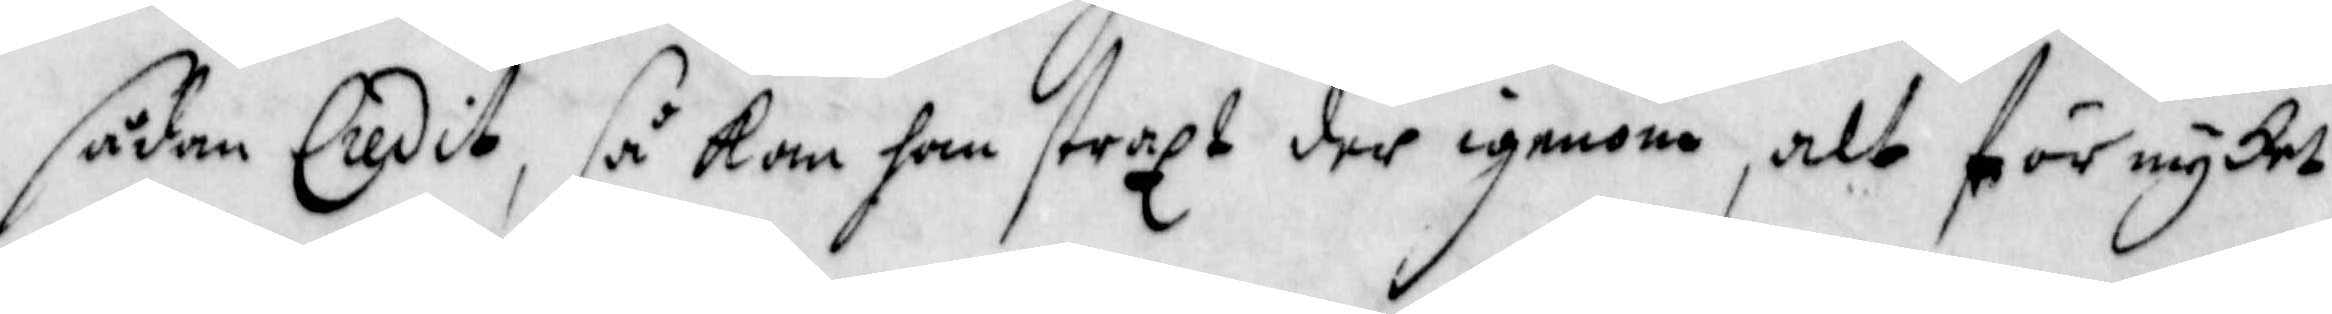spdan Liedit, så kan han straxt der igenom, alt för mycket
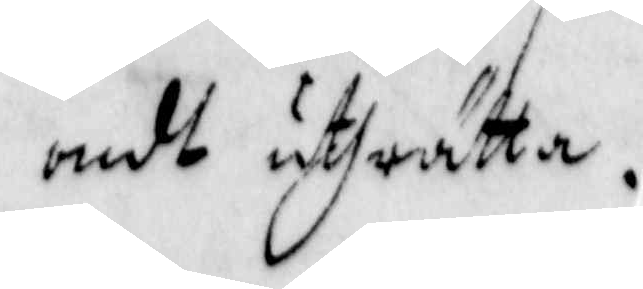ondt uthrätta.
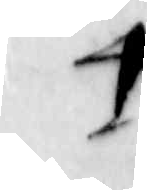4
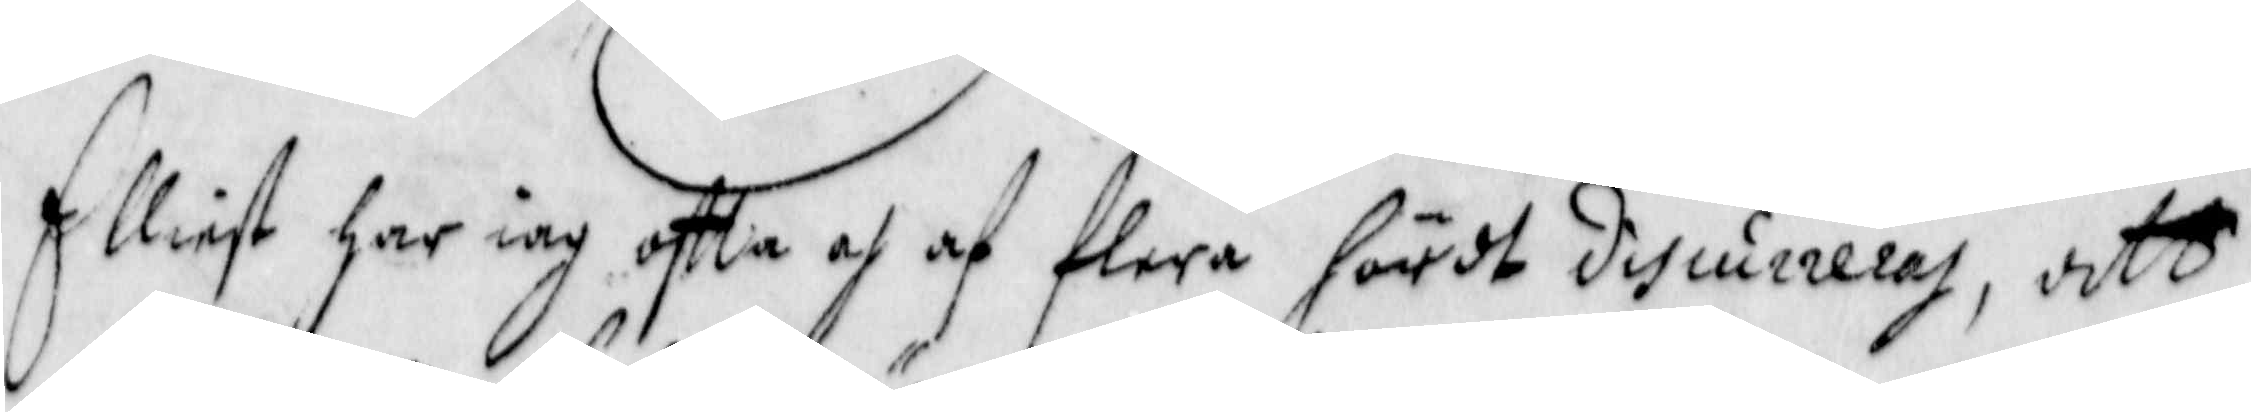Elliest har iag ofta och af flera hördt discurrreras, att
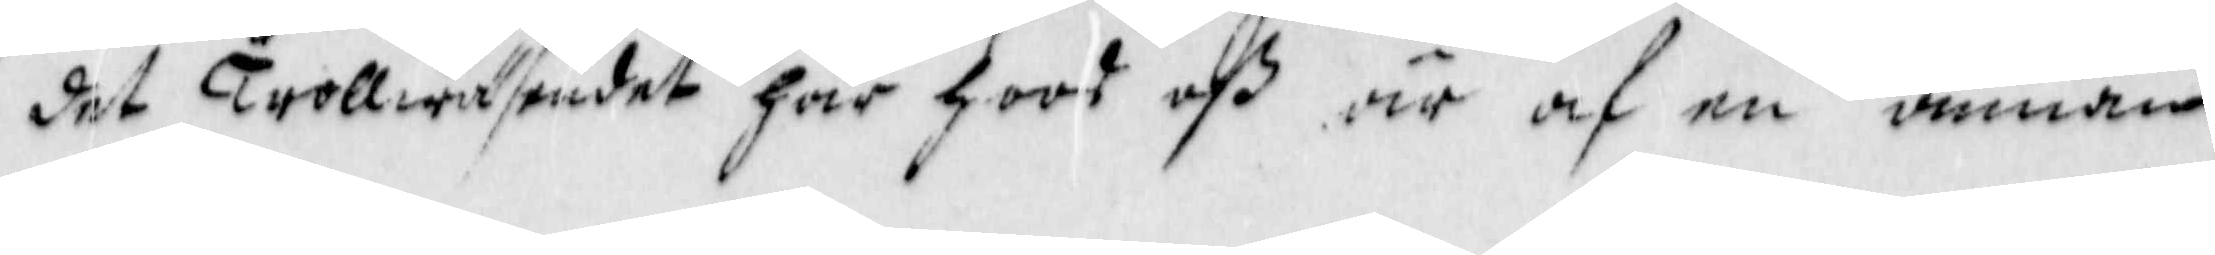det Trollwäsendet här hoos oß, är af en annan
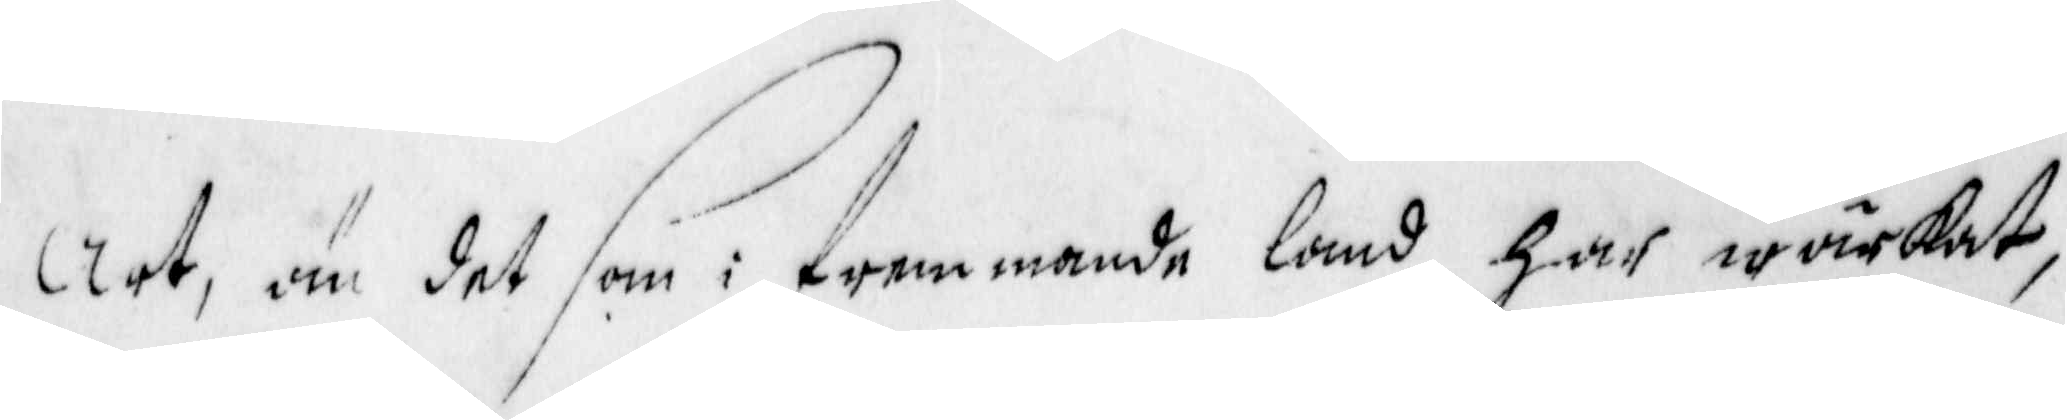Art, än det som i fremmande land har wärkat,
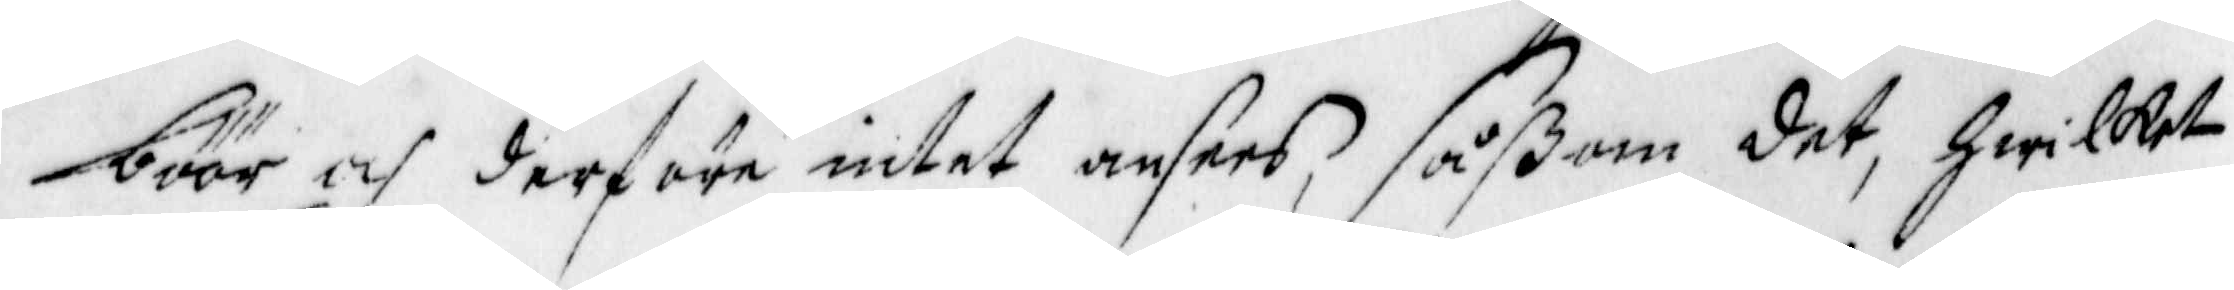böör och derföre intet ansees såßom det, hwilket
